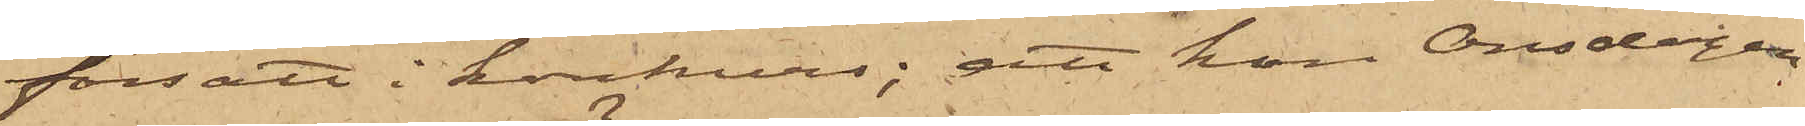försatt i korkurs; att han Onsdagen
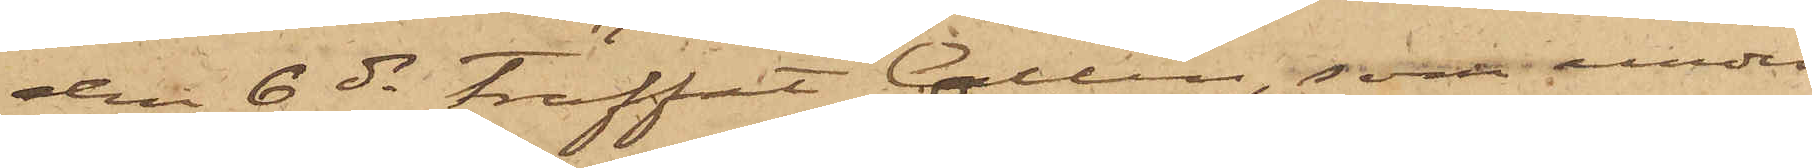den 6 ds träffat Collin, som under
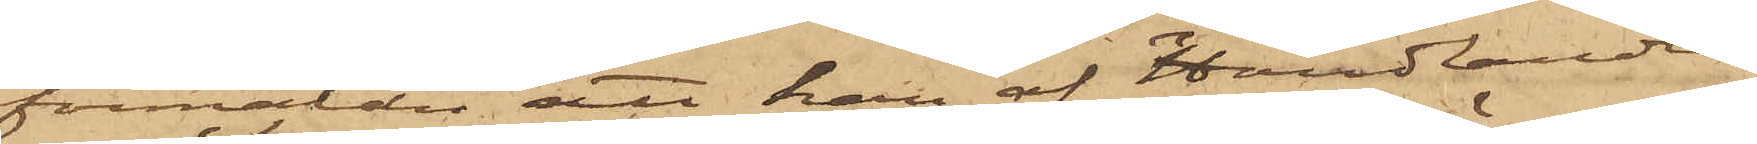förmälan att han af Handlanden
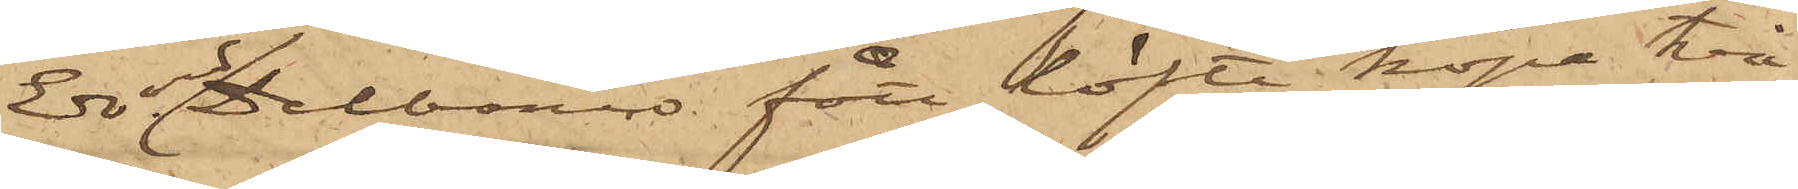Edvard Delbanco fått löfte köpa två
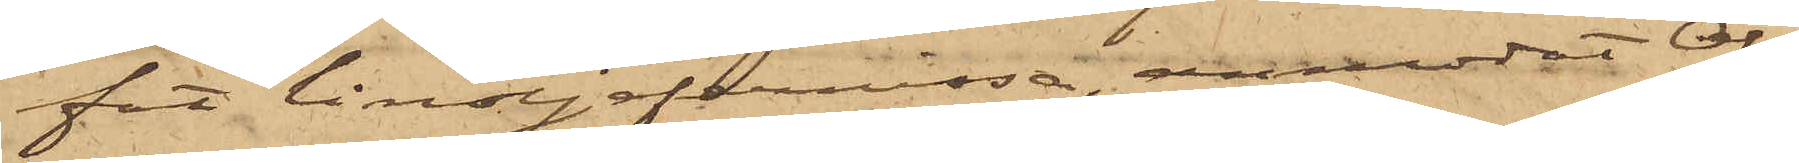fat linoljefernissa, anmodat Ols¬
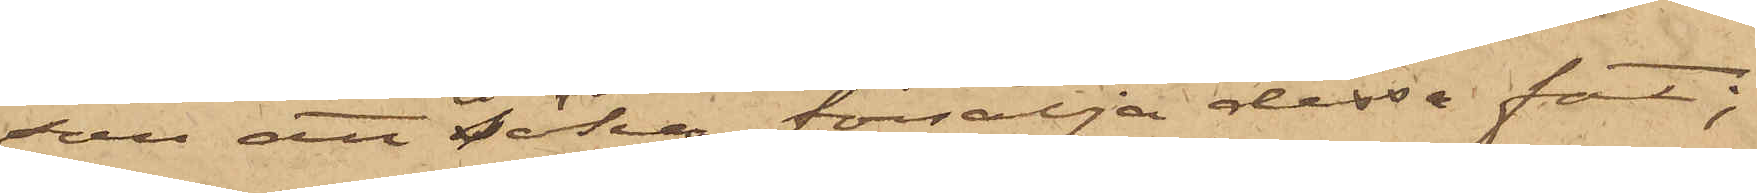son att söka försälja dessa fat;
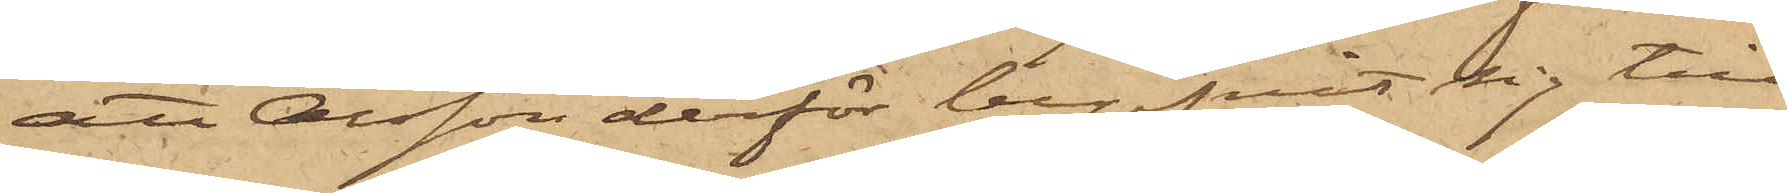att Olsson derför begifvit sig till
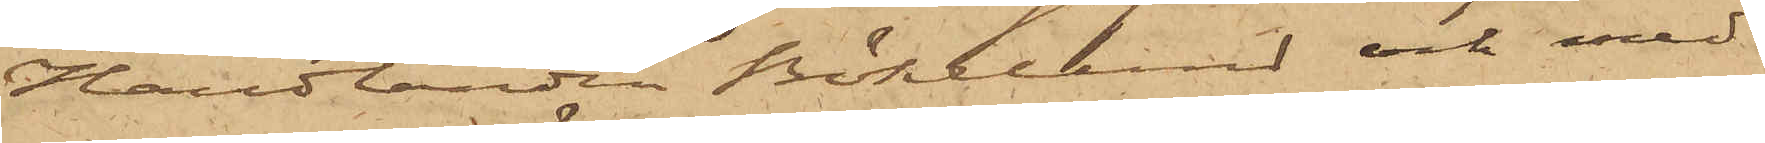Handlanden Bökelund och med
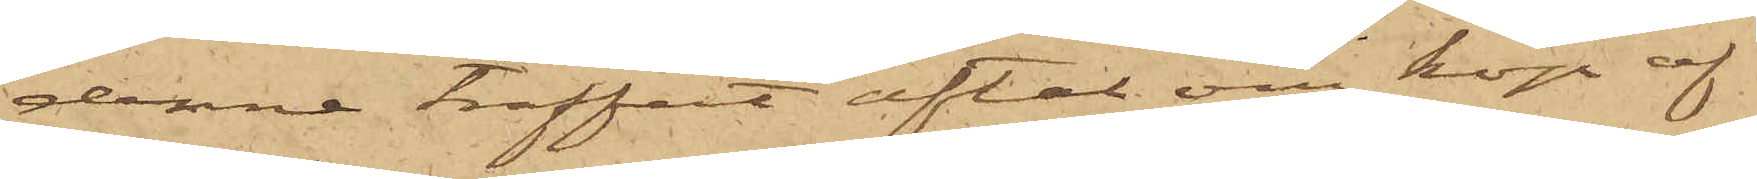denne träffat aftal om köp af
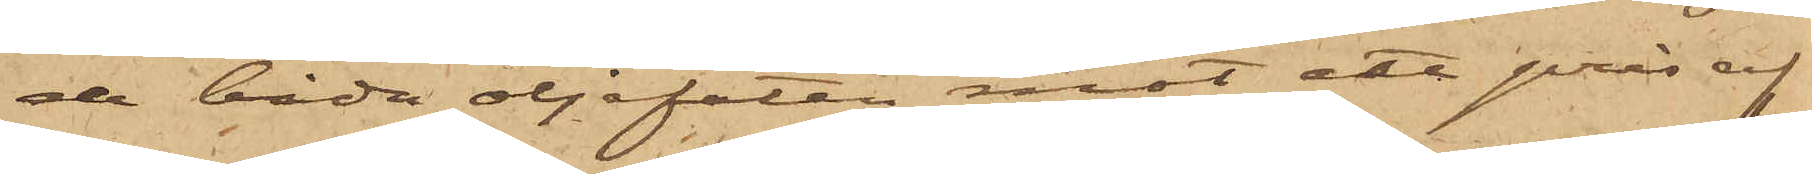de båda oljefaten mot ett pris af
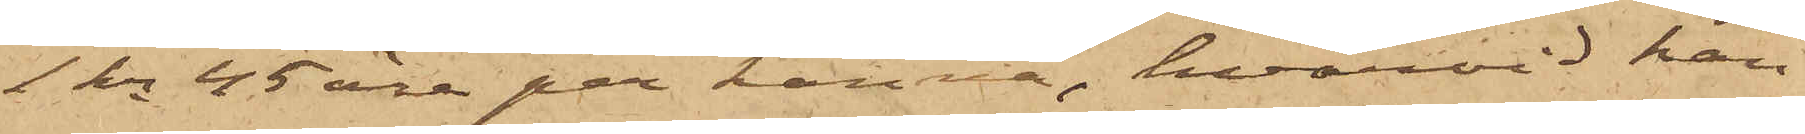1 kr 45 öre per kanna, hvarvid han
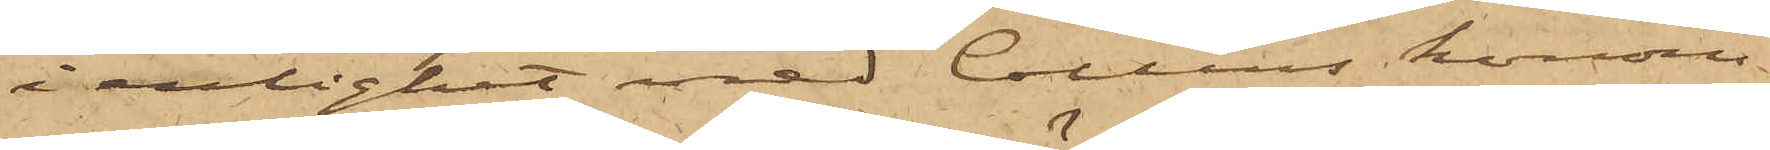i enlighet med Collins honom
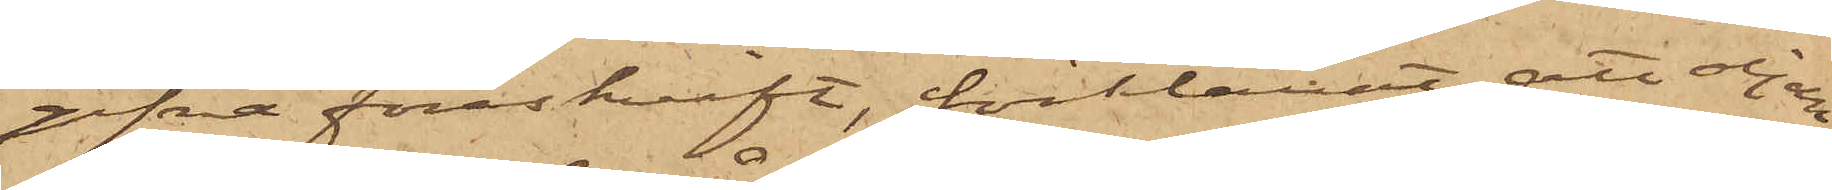gifna föreskrift, förklarat, att oljan
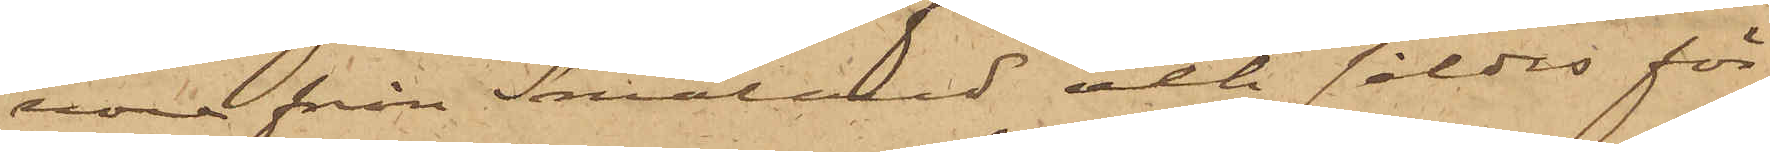vore från Småland och såldes för
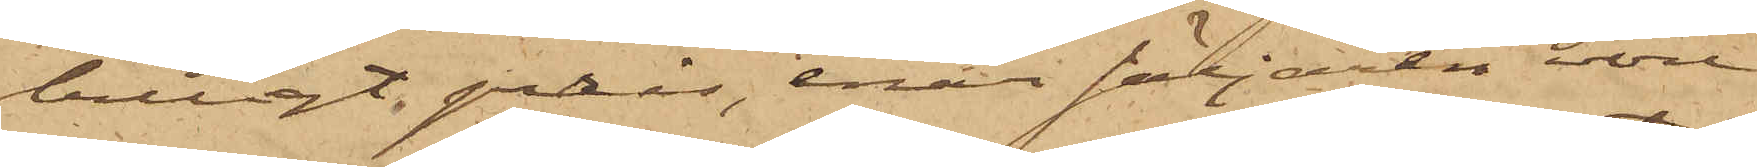billigt pris, enär säljaren vore
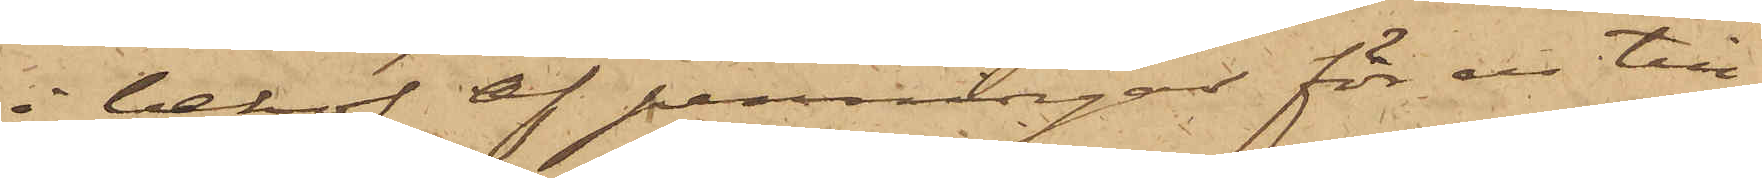i behof af penningar för en till¬
